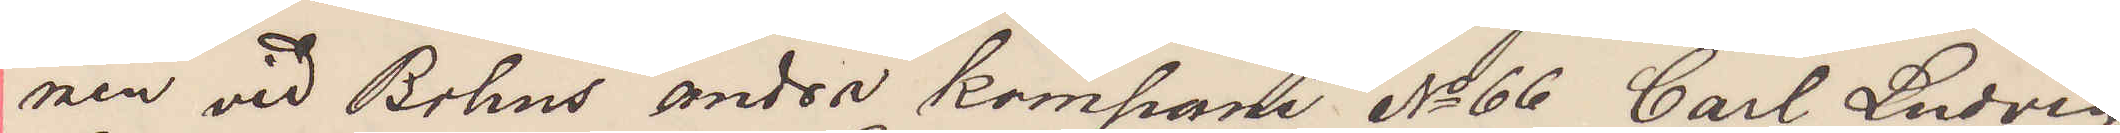nen vid Bohus andra kompani No 66 Carl Ludvig
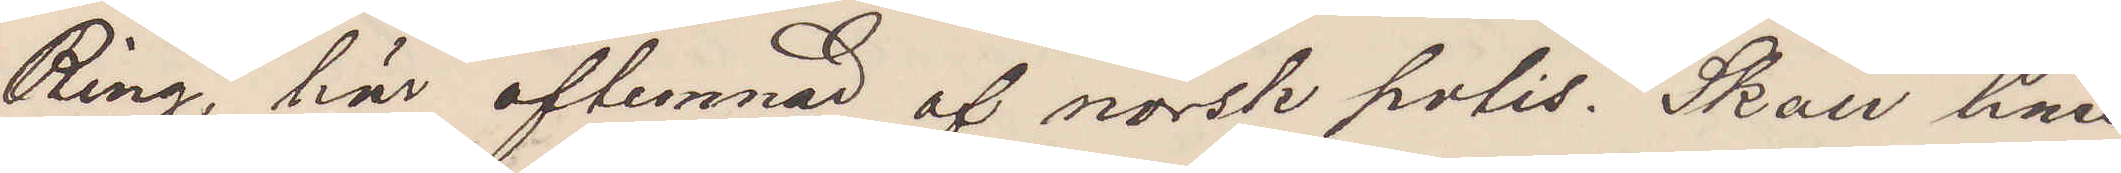Ring, här aflemnad af norsk polis. Skall han
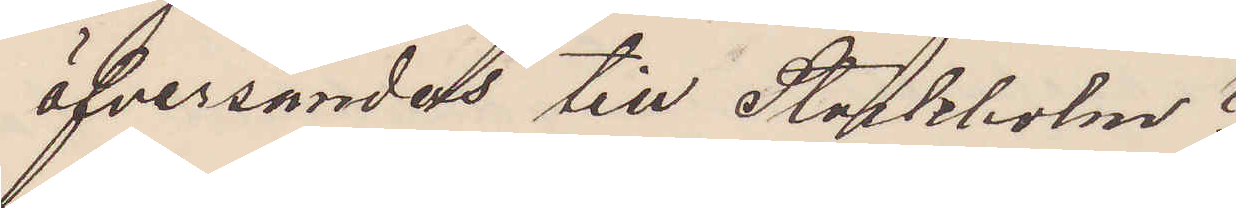öfversändas till Stockholm?
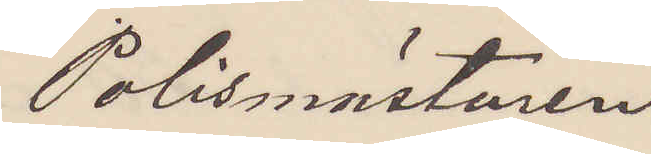Polismästaren
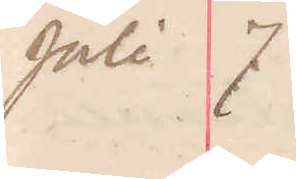Juli 7
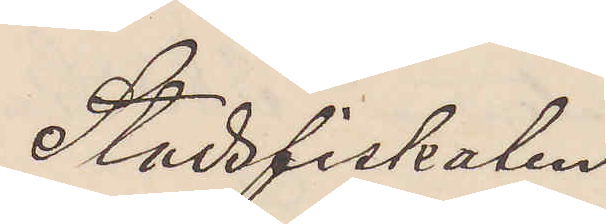Stadsfiskalen
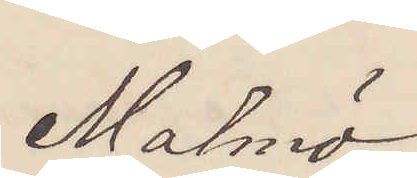Malmö
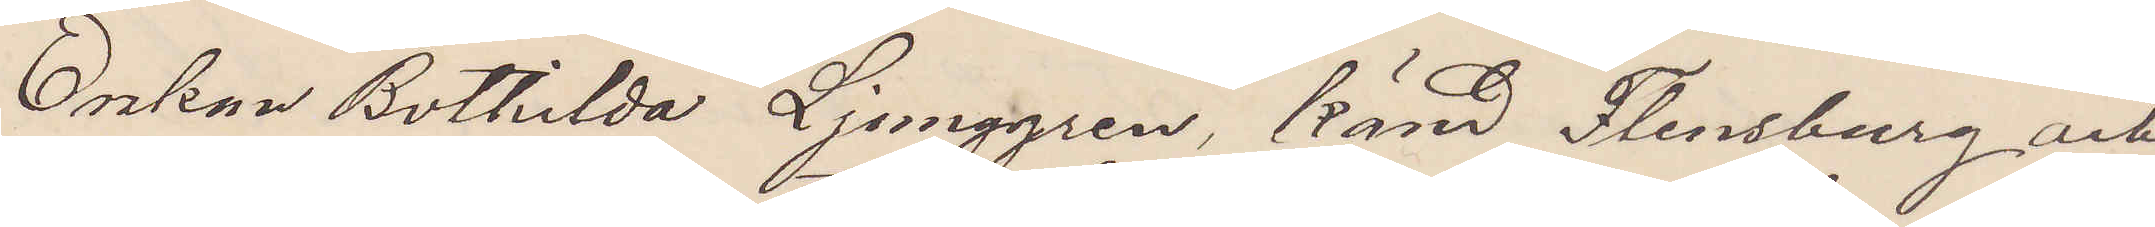Enkan Bothilda Ljunggren, känd Flensburg och
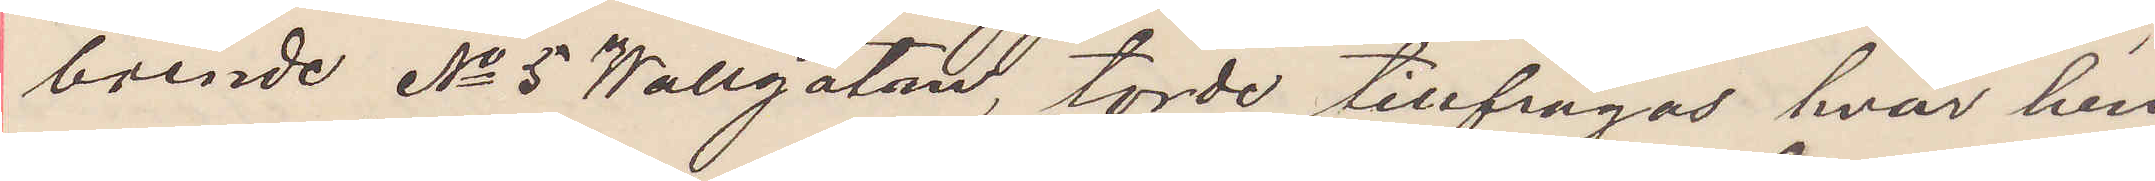boende No 5 Wallgatan, torde tillfrågas hvar hen¬
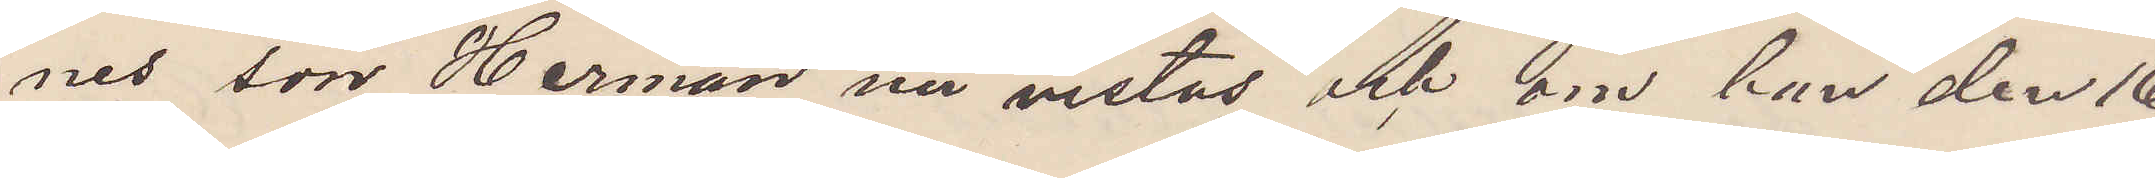nes son Herman nu vistas och om han den 16
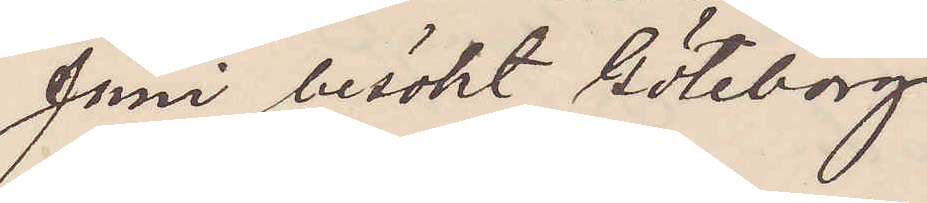Juni besökt Göteborg.
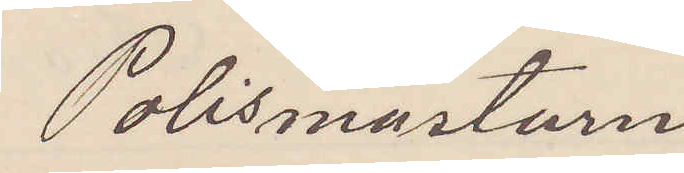Polismästarn
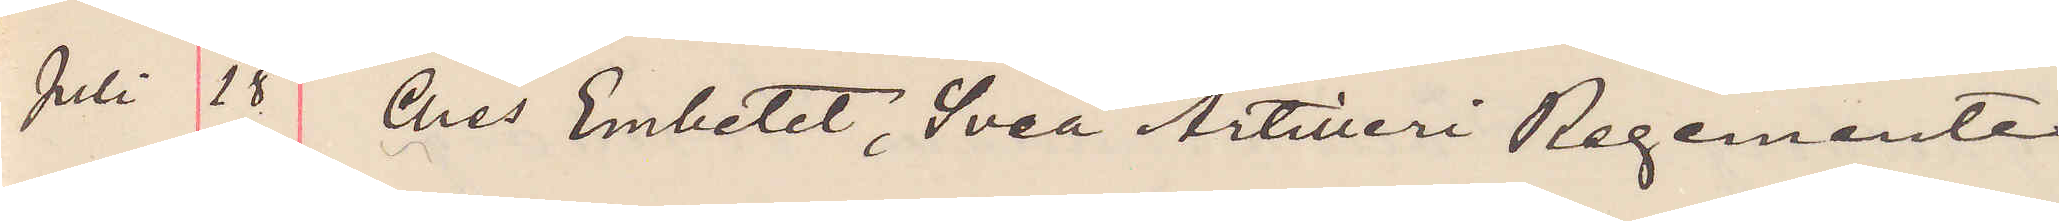Juli 28 Ches Embetet, Svea Artilleri Regemente
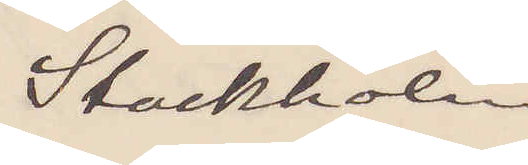Stockholm
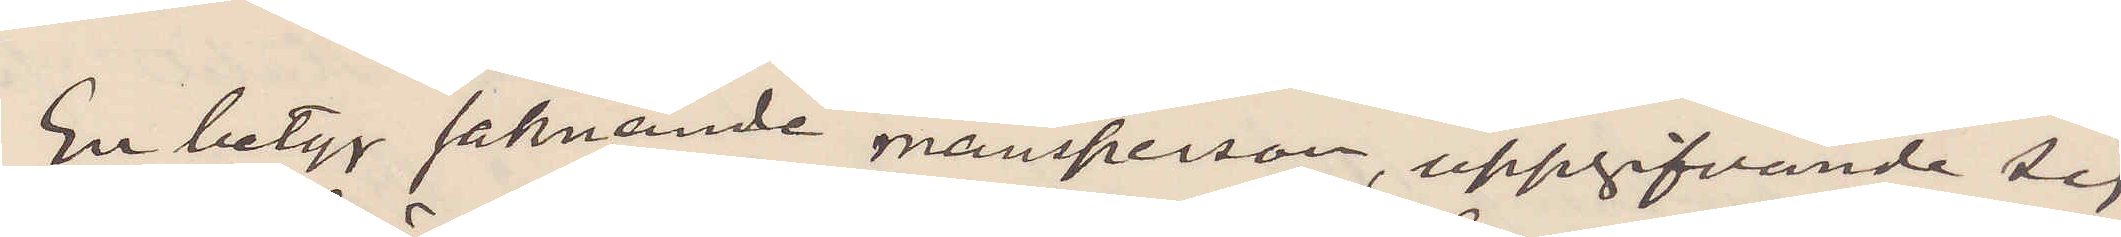En betyg saknande mansperson, uppgifvande sig
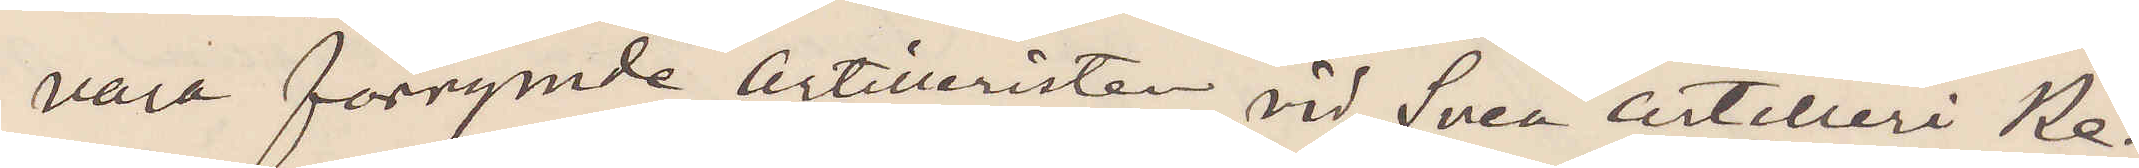vara förrymde artilleristen vid Svea artilleri Re¬
